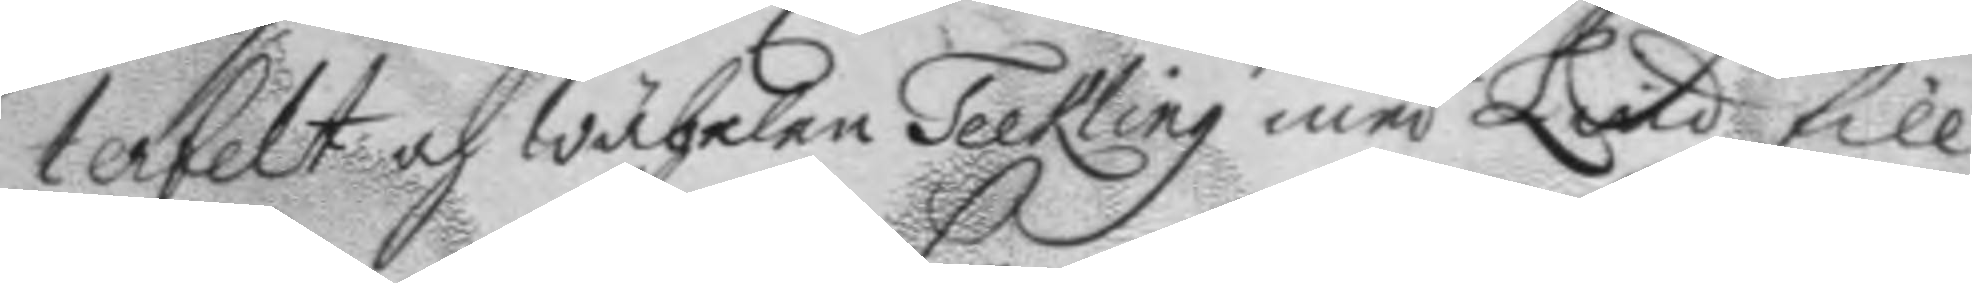terfelt och wäbelen Teekling med Lind till
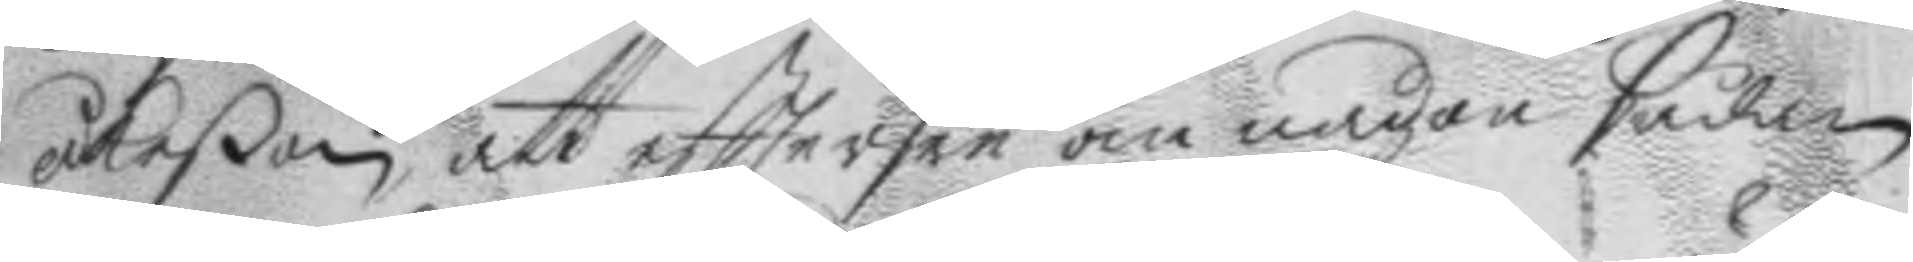åkeßon, att efttersee om någon sådan
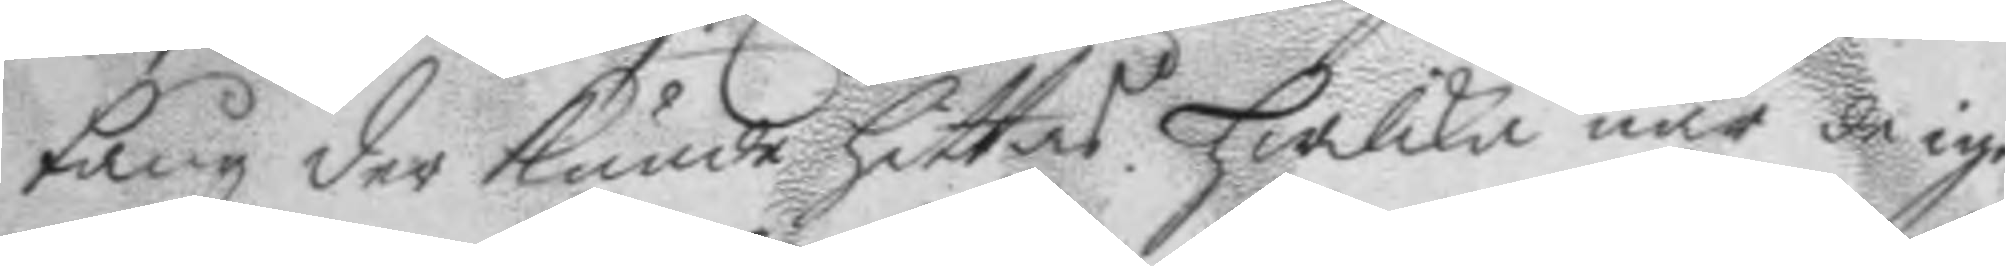tång der kunde hittas. Hwilka när de igen¬
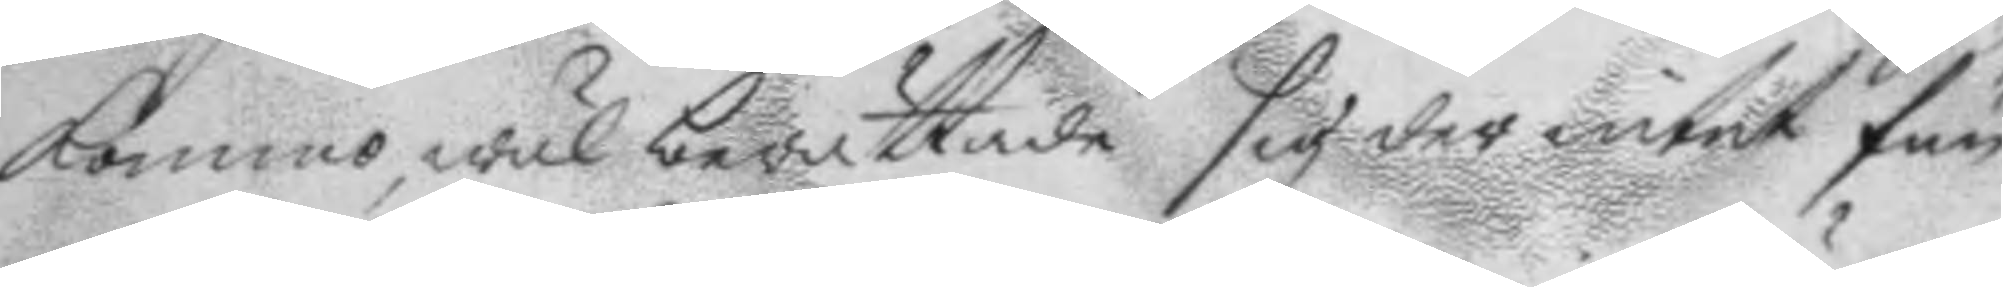kommo. wäl berättade sig der intet fun¬
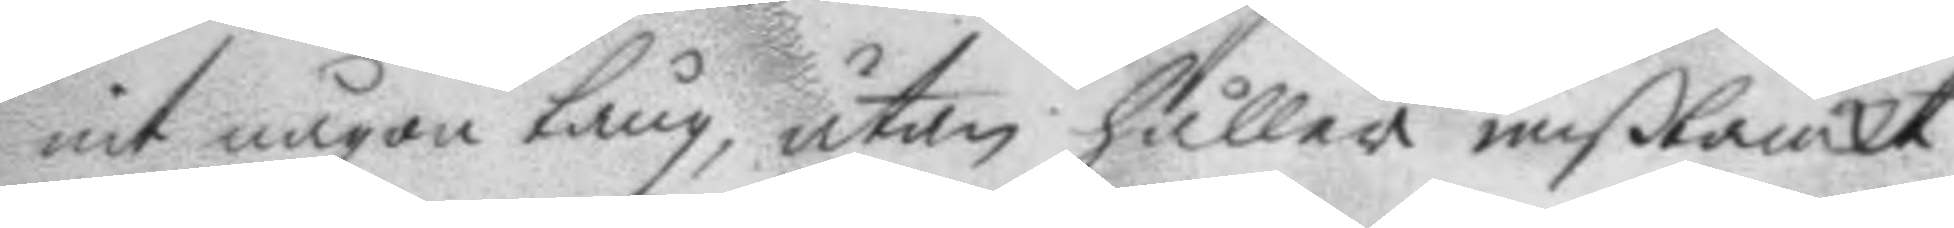nit någon tång, utan håller mißtänckt
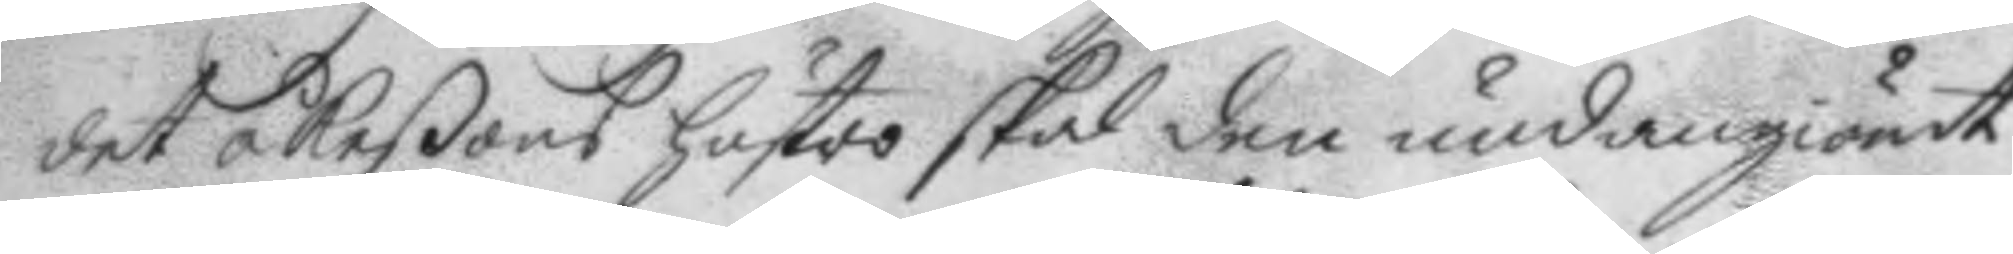det åkeßons hustro skal den undangiömt,
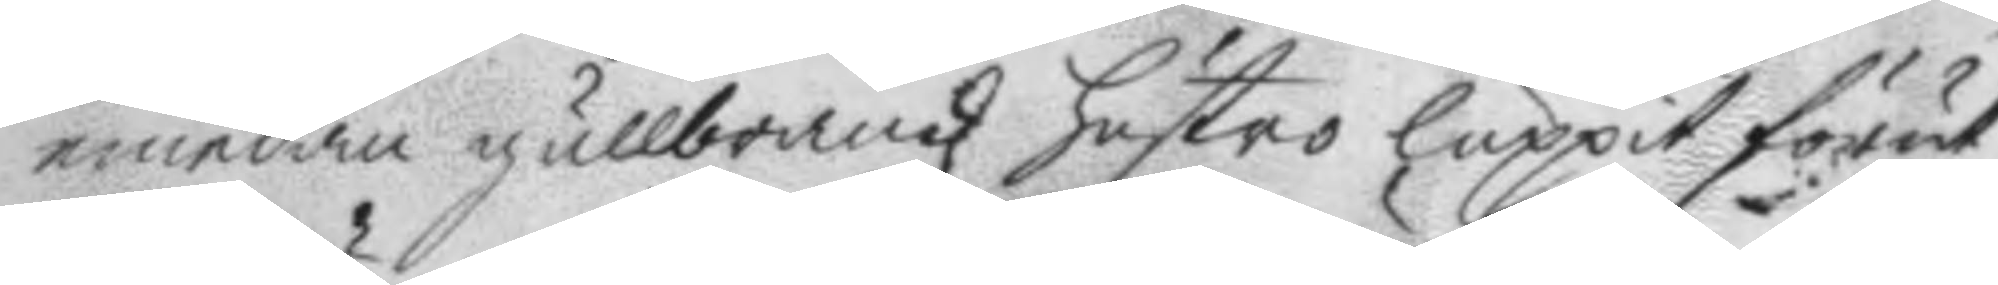emedan gullbrandz hustro luppit förut
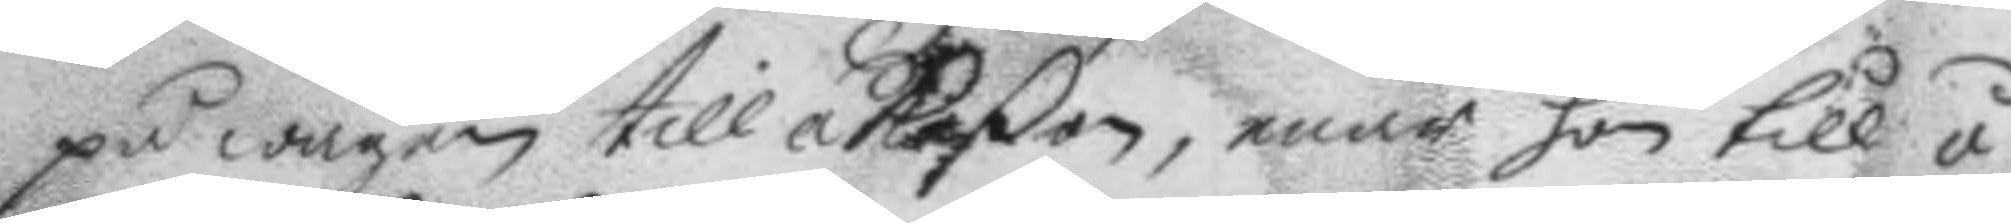på wägen till åkeßon, enär hon till å¬
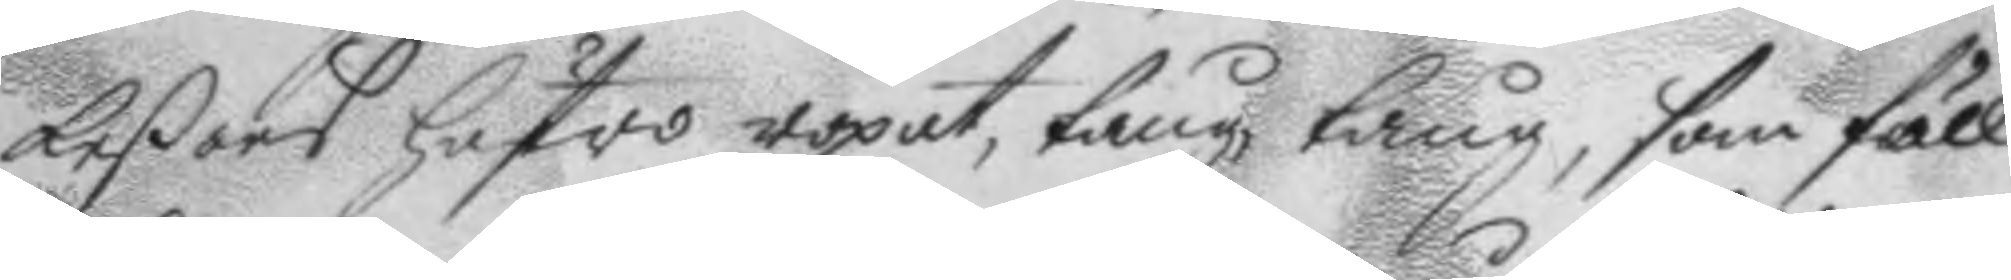keßons hustro ropat, tång, tång, som föll
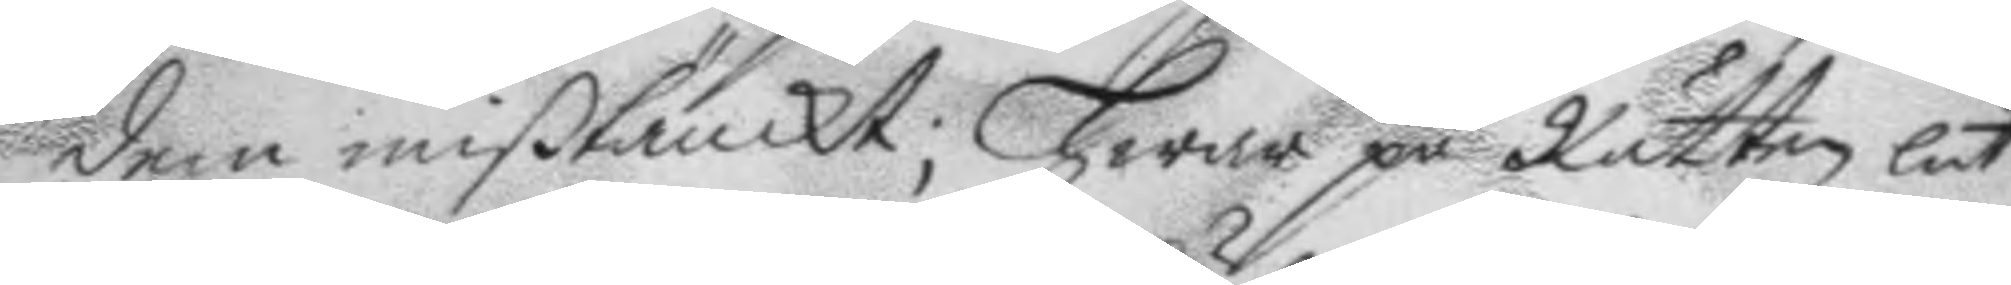dem mißtänckt; Hwar på Rätten lät
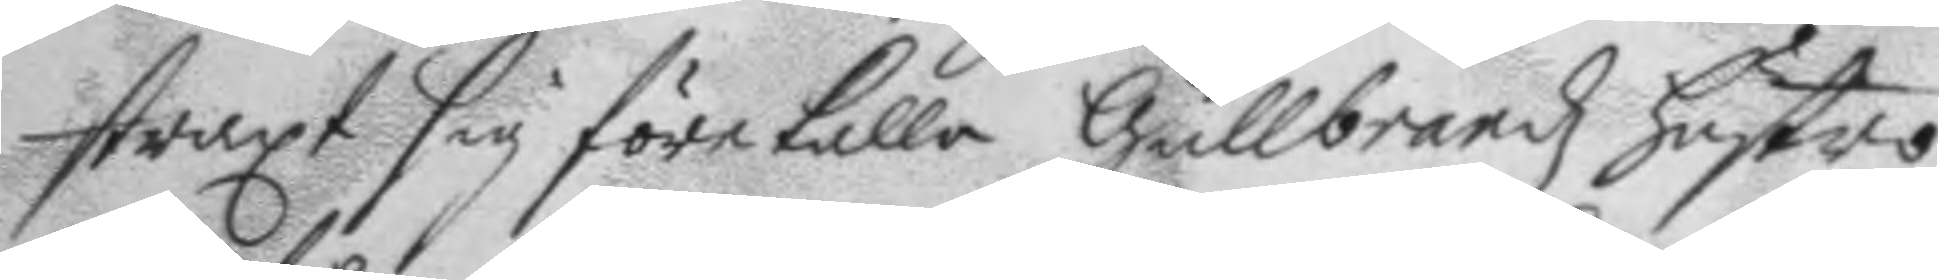straxt sig förekalla Gullbrandz hustro
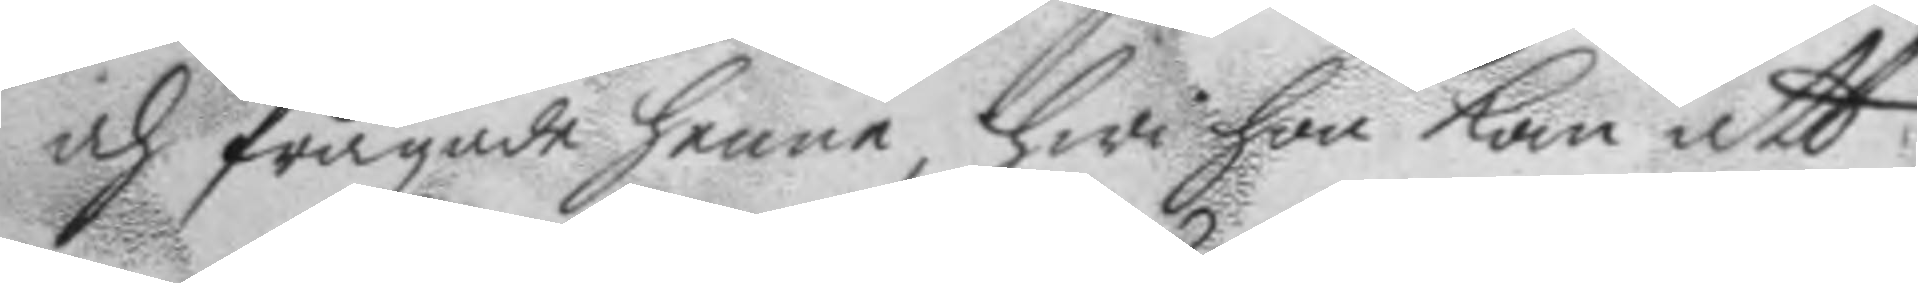och frågade henne, hwi hon kom att
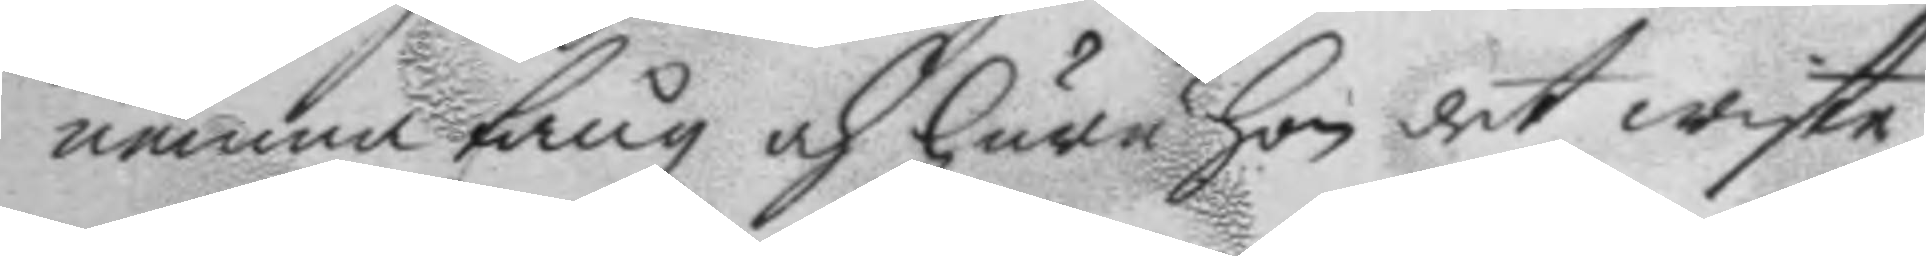nemna tång och huru hon det wiste,
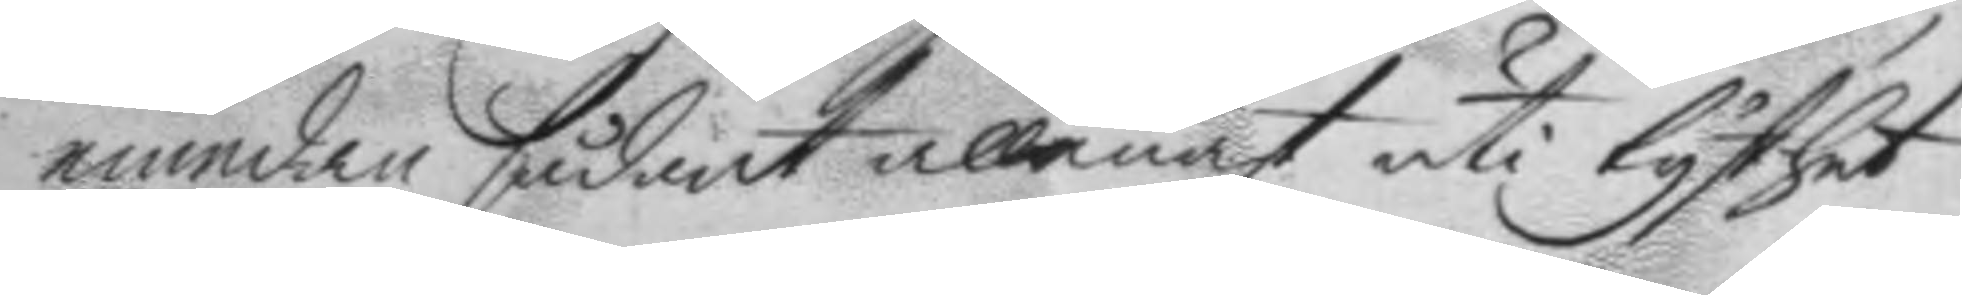emedan sådant allenast uti tysthet
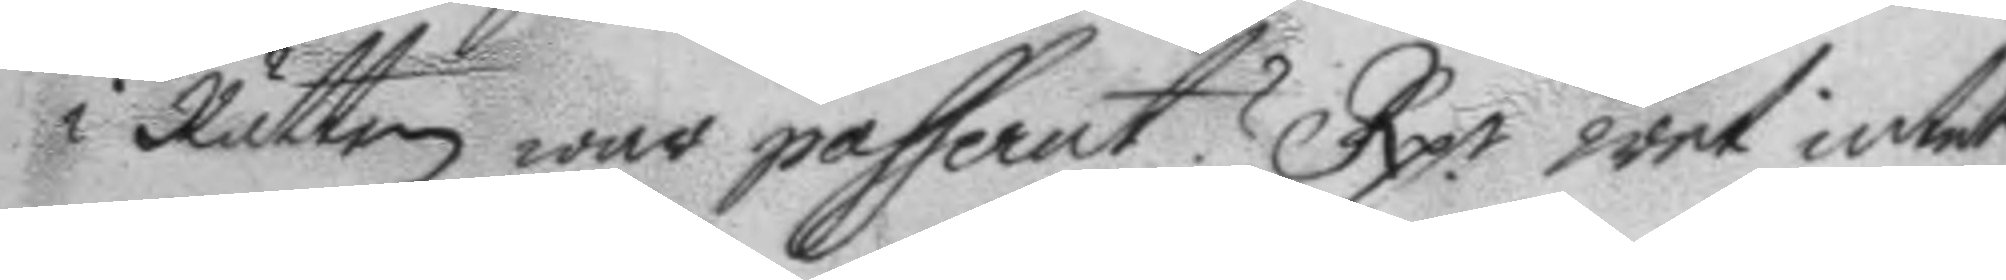i Rätten war passerat? Rp. wet intet
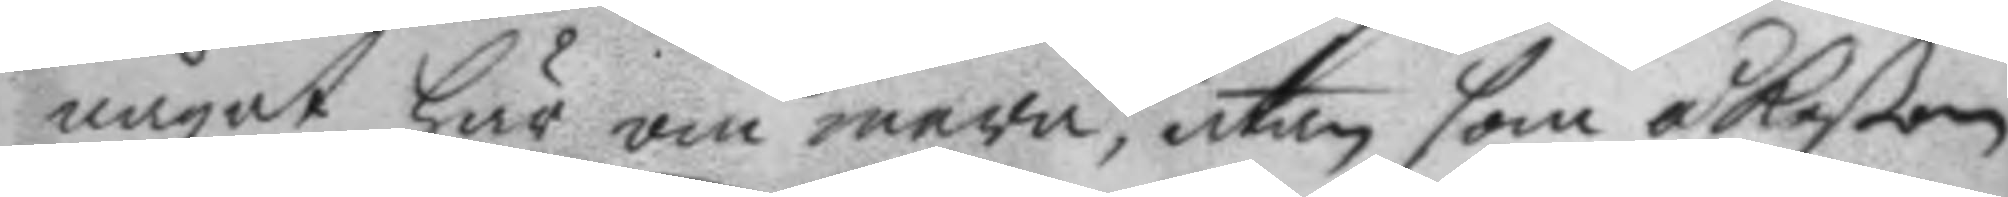något här om wara, utan som åkeßon
